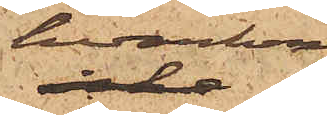hvarken
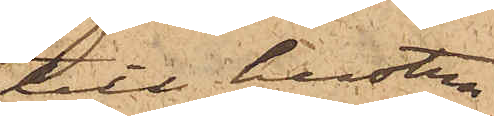till hustru
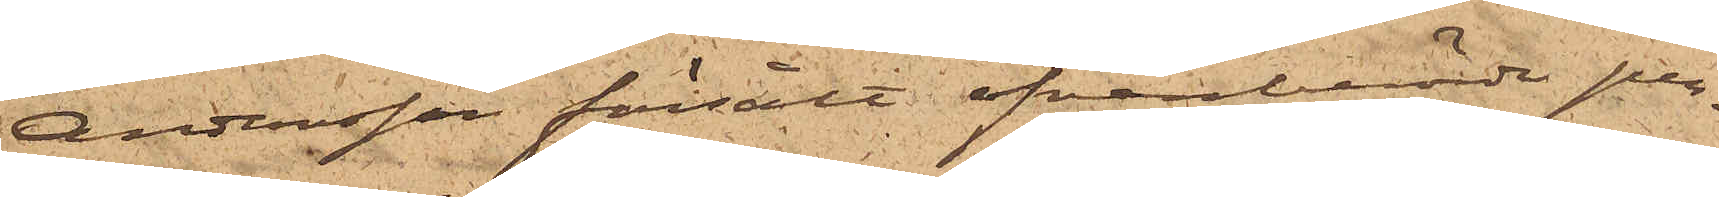Andersson försålt ofvanberörde per¬
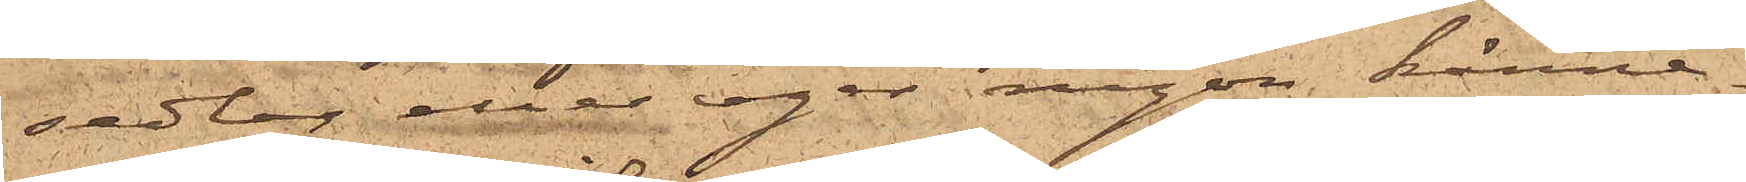sedlar eller eger någon känne¬
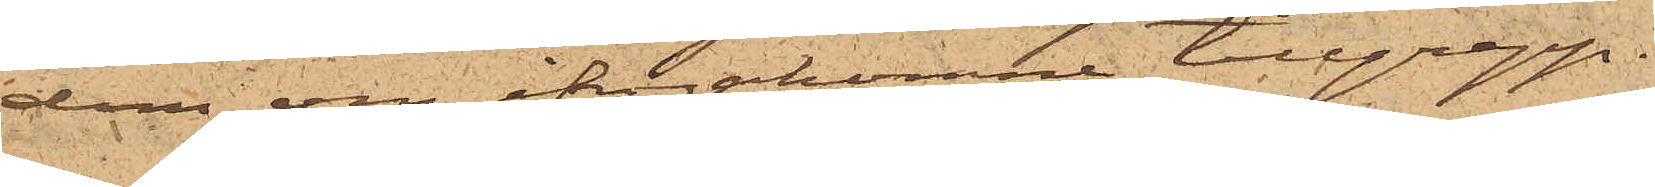dom om ifrågakomne tillgrepp.
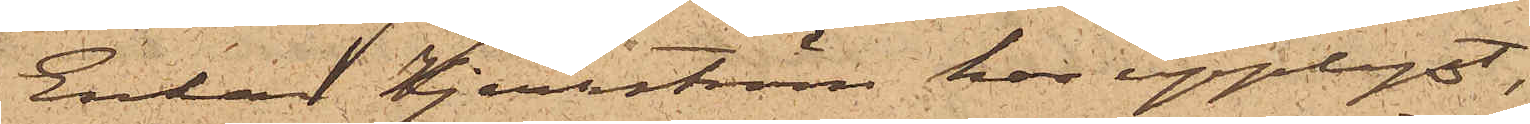Enkan Kjerrström har upplyst,
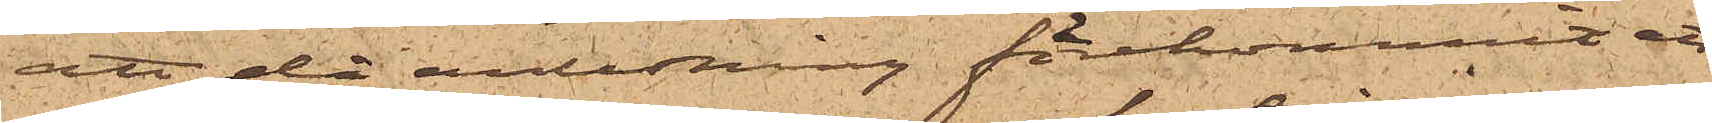att då anledning förekommit att
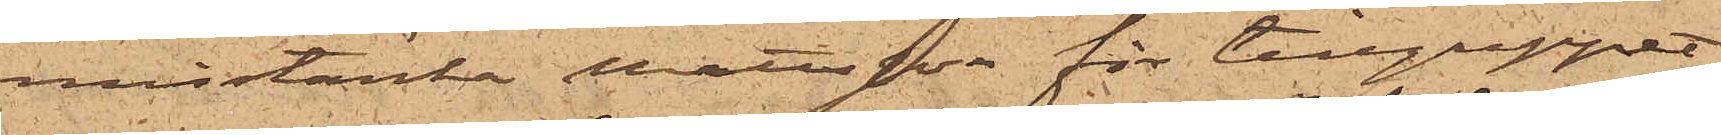misstänka Mattsson för tillgreppet
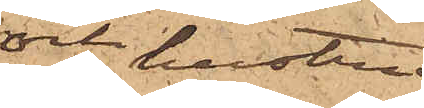och hustru
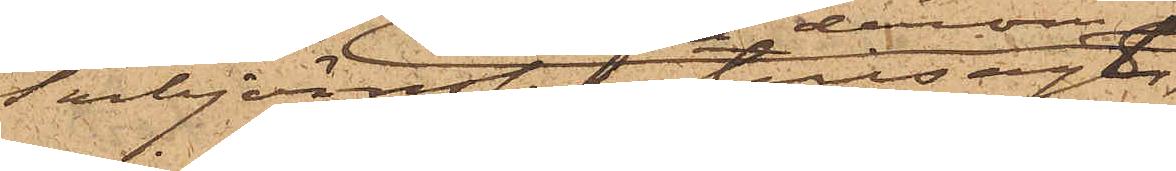Torbjörnsson tillsagt
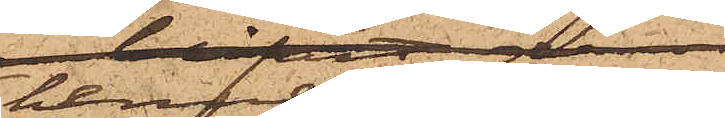henne derom
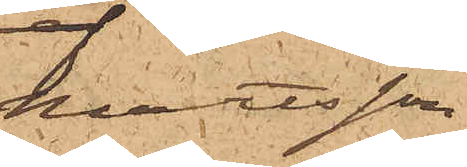Mattsson
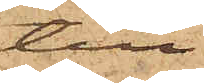till
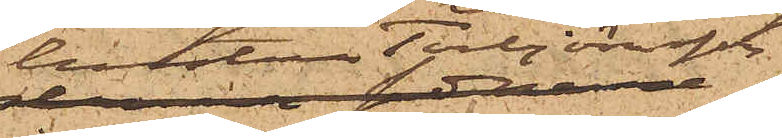hustru Torbjörnsson
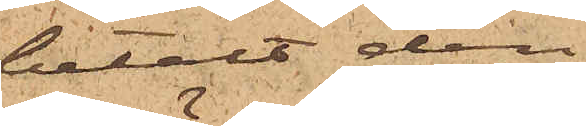betalt den
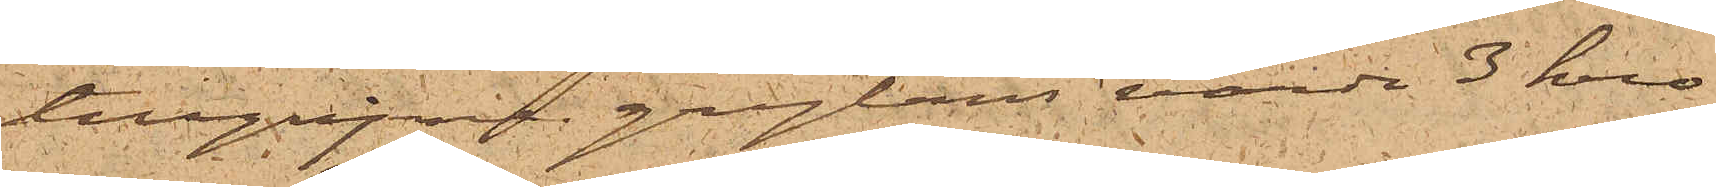tillgripne grytans värde 3 kro¬
